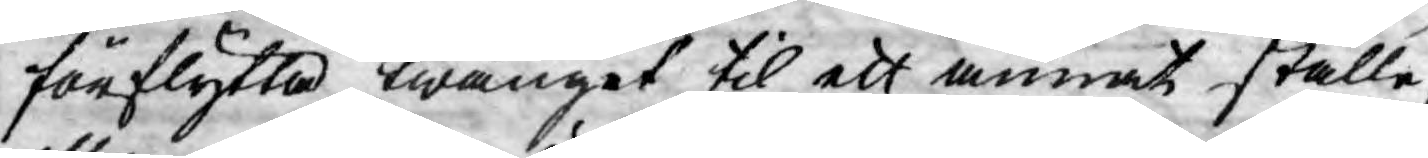förflytta twånget til ett annat ställe,
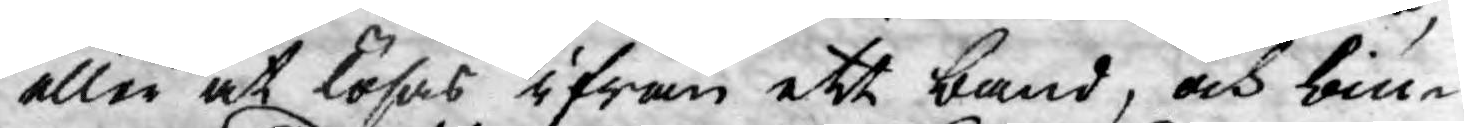eller at lösas ifrån ett band, och biu¬
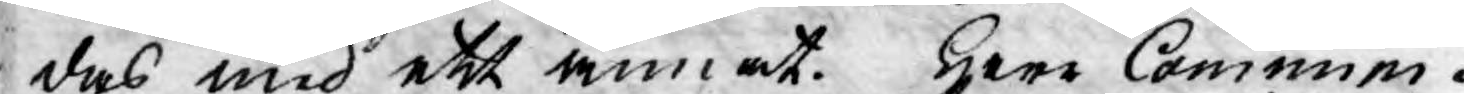das med ett annat. Herr Commini¬
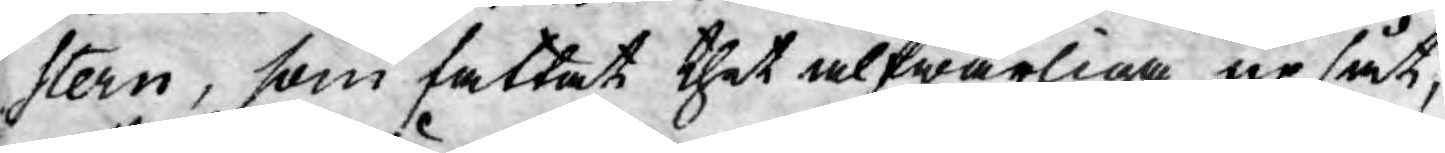stern, som fattat thet alfwarliga upsåt,
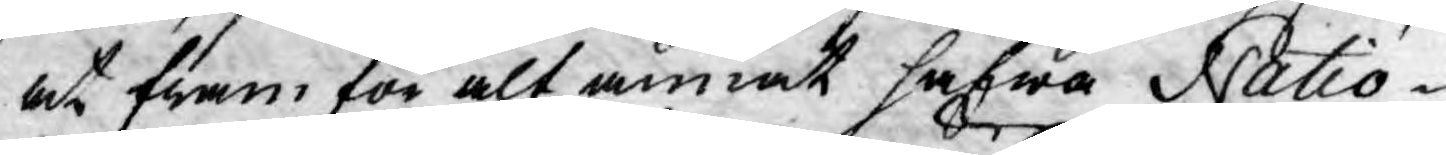at fram för alt annat hafwa Natio¬
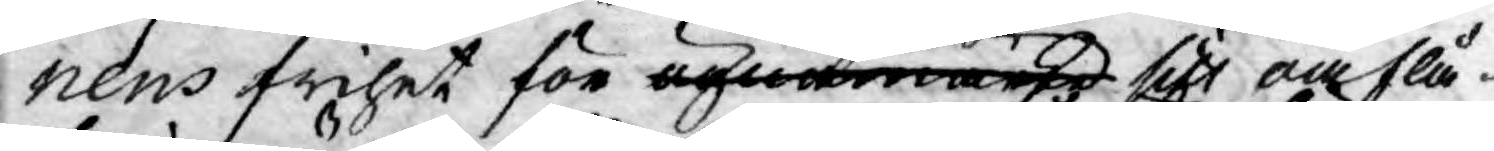nens frihet för ögnamärke sitt oaflå¬
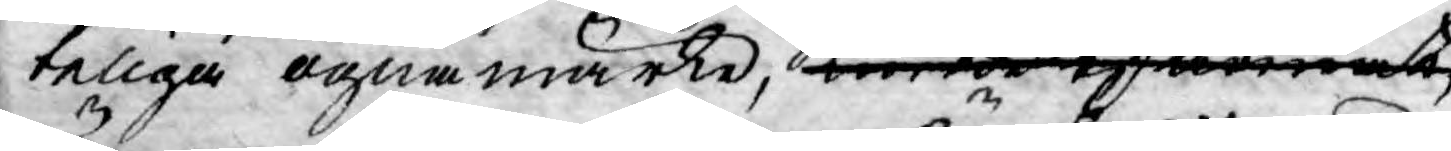teliga ögnamärke, kunde af annat 
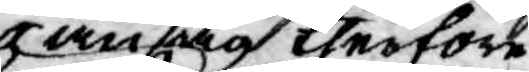ansåg therföre
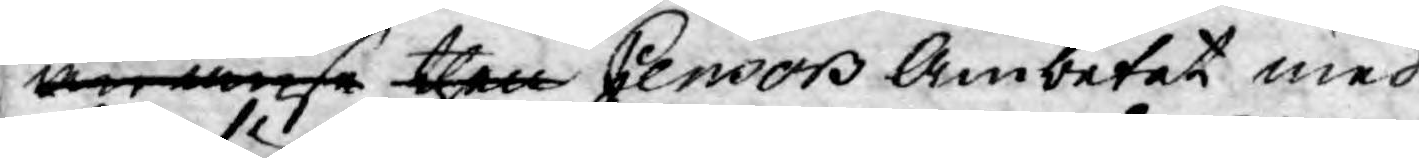än anse then Censor Ämbetet med
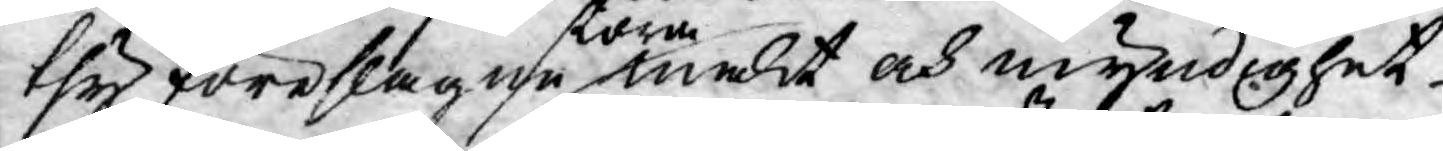thy föreslagne store makt och myndighet
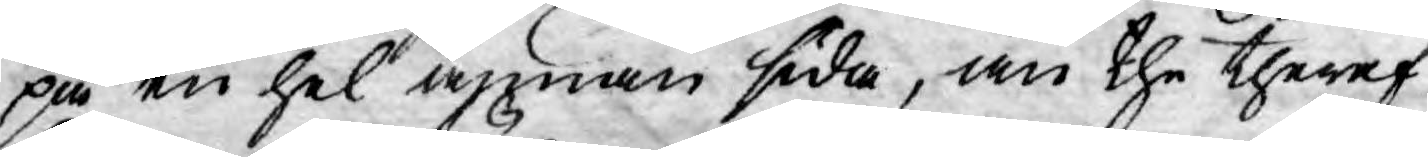på en hel annan sida, än the theraf
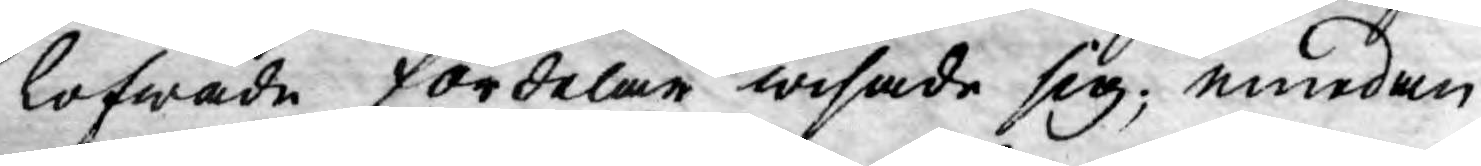lofwade fördelar wisade sig; emedan
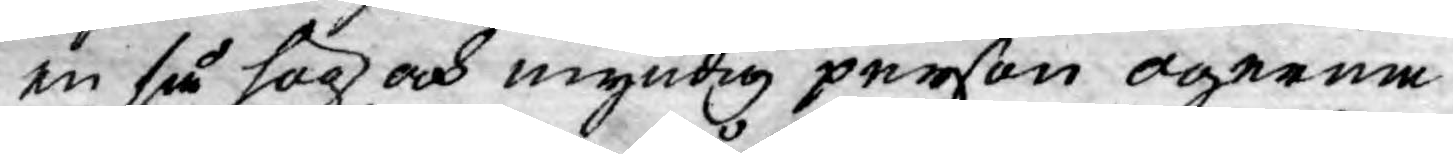en så hög och myndig person ogerna
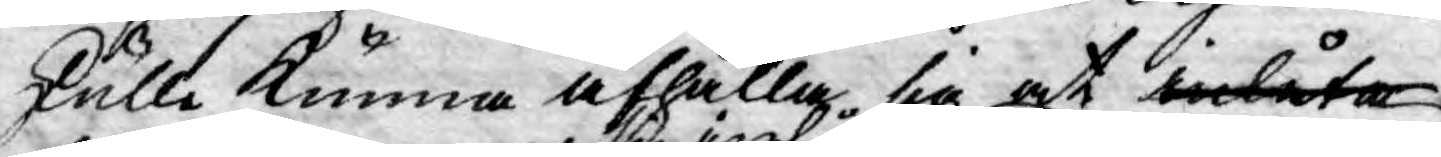skulle kunna afhålle sig at inlåta
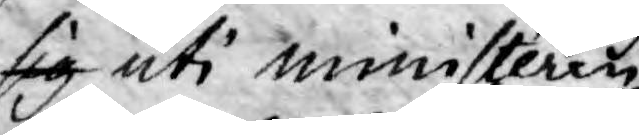sig uti ministéren
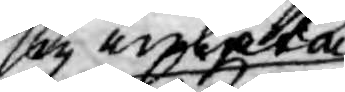sig inlåta
